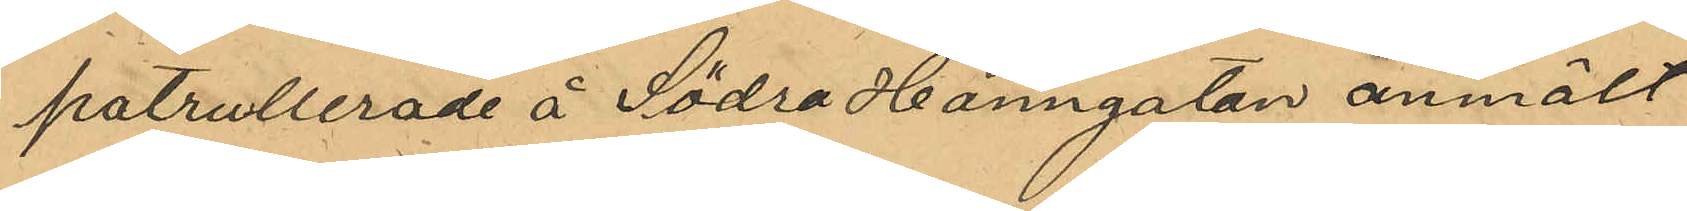patrullerade å Södra Hamngatan anmält
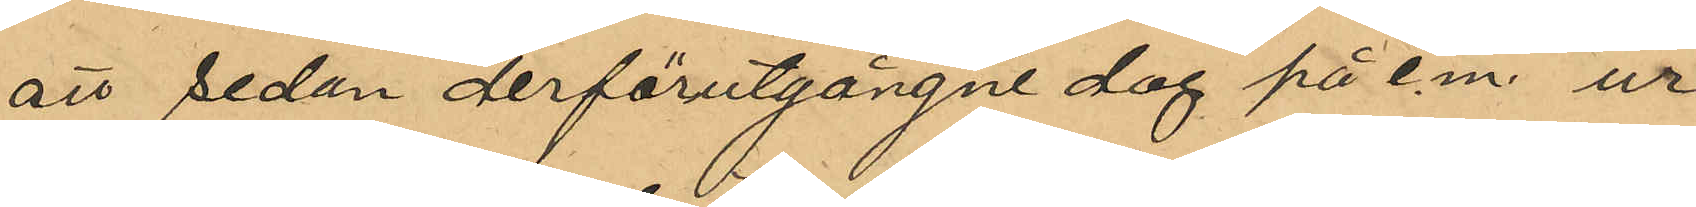att sedan derförutgångne dag på e. m. ur
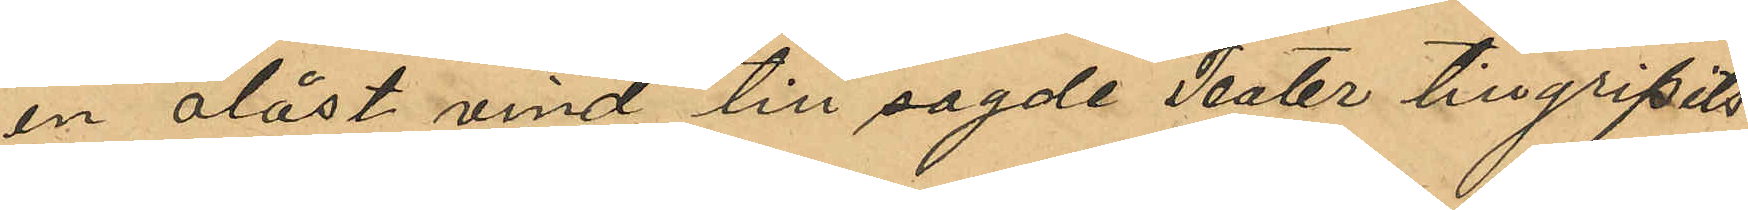en olåst vind till sagde Teater tillgripits
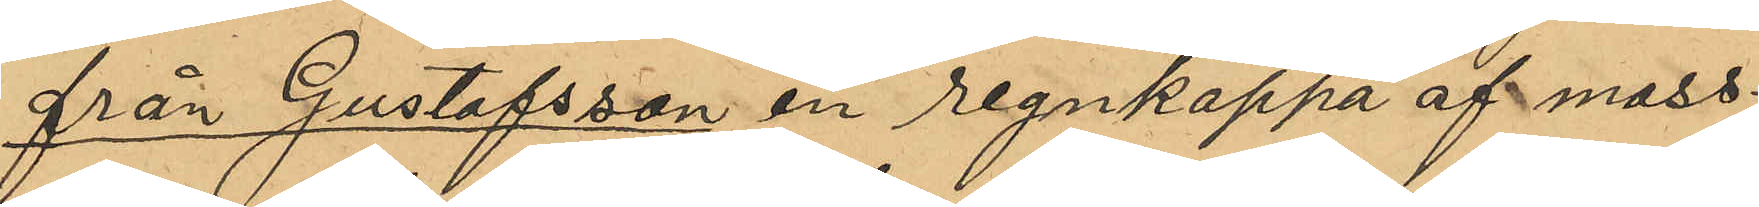från Gustafsson en regnkappa af moss¬
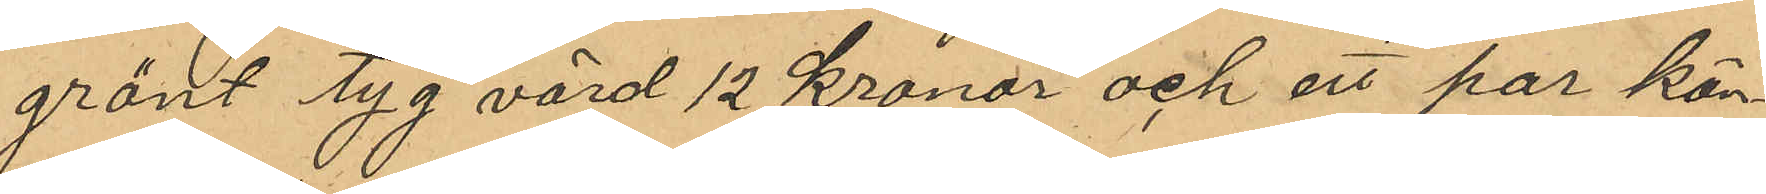grönt tyg värd 12 Kronor och ett par kän¬
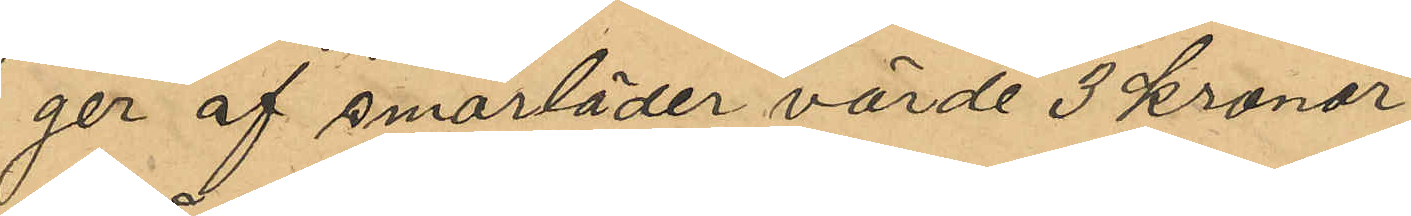ger af smorläder värde 3 Kronor.
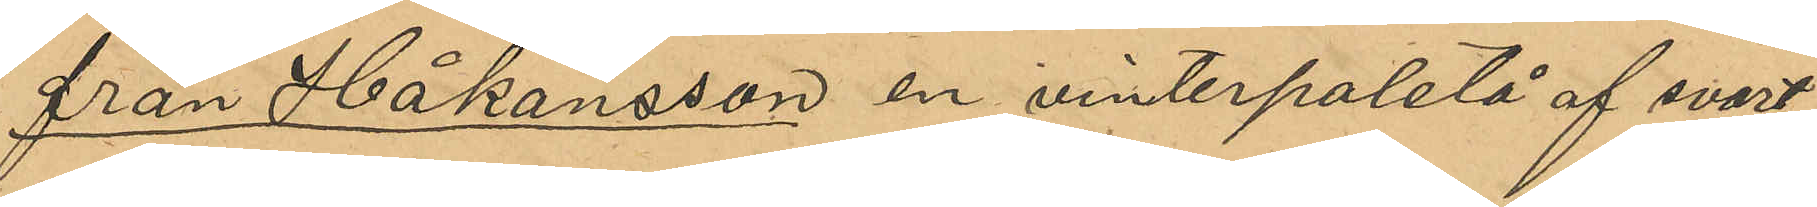från Håkansson en vinterpaletå af svart
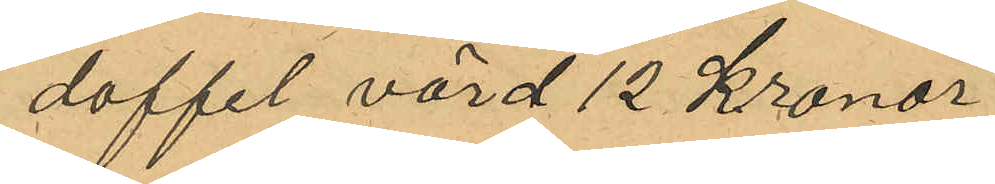doffel värd 12 Kronor.
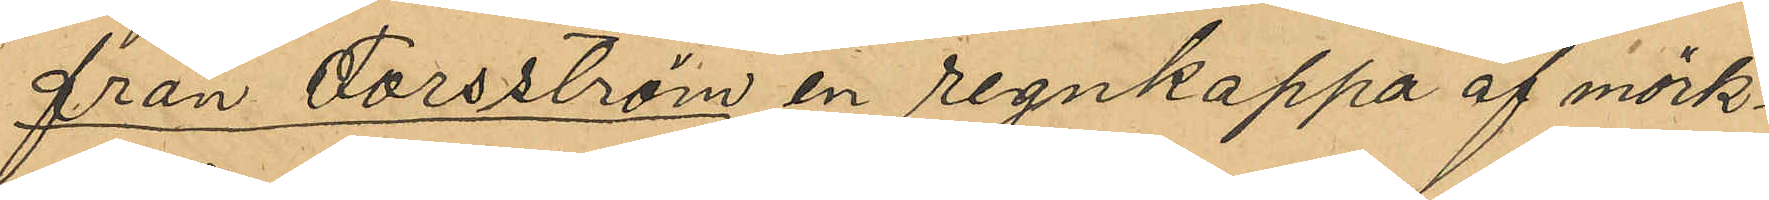från Forsström en regnkappa af mörk¬
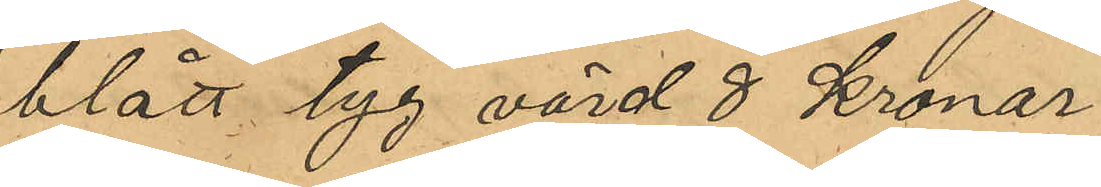blått tyg värd 8 Kronor.
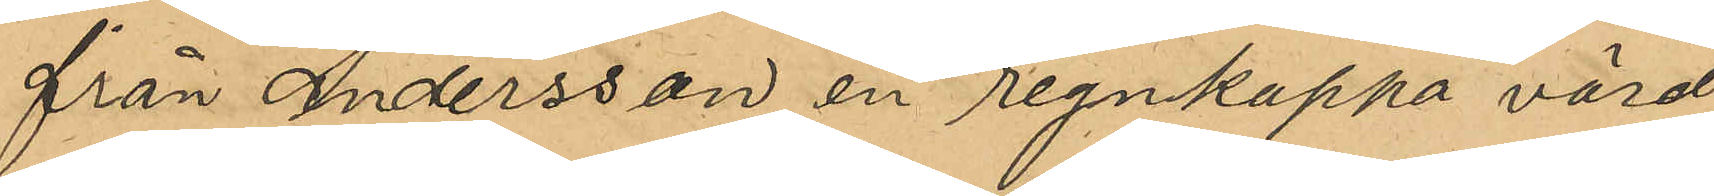från Andersson en regnkappa värd 
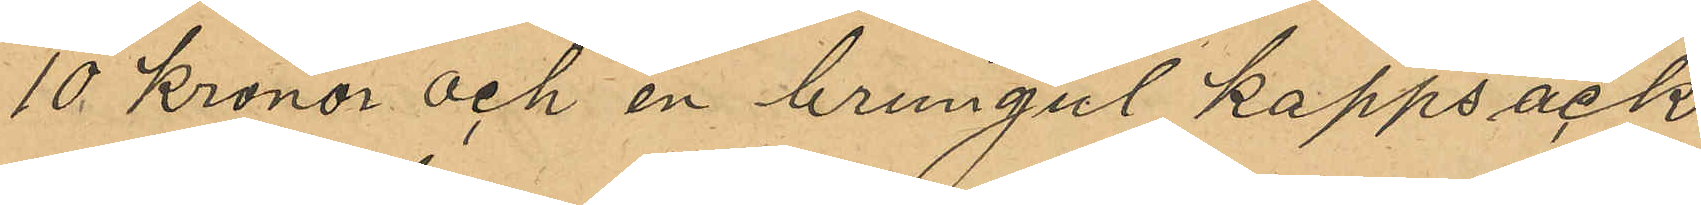10 Kronor och en brungul kappsäck
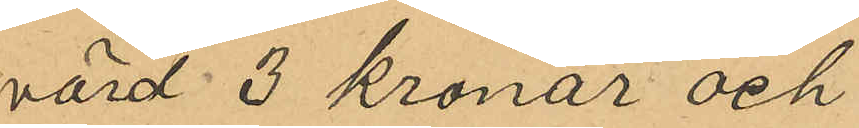värd 3 Kronor och
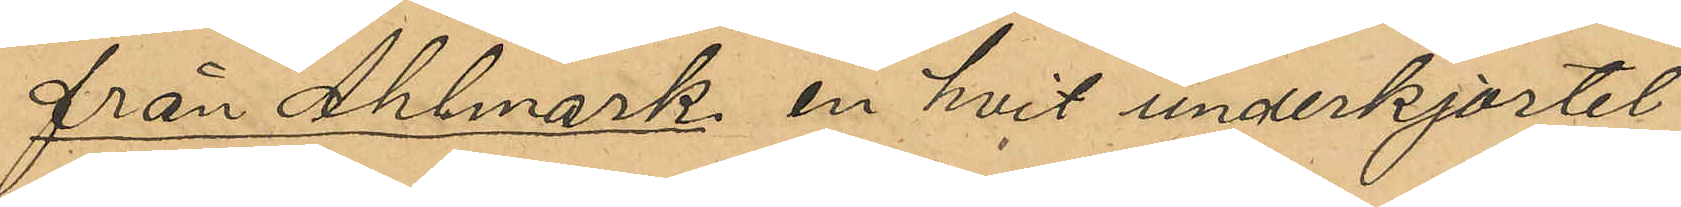från Ahlmark en hvit underkjortel
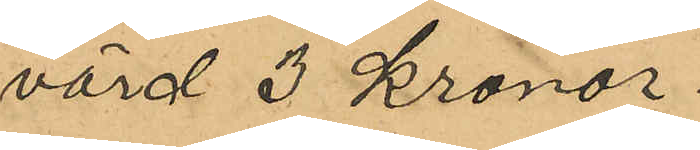värd 3 Kronor.
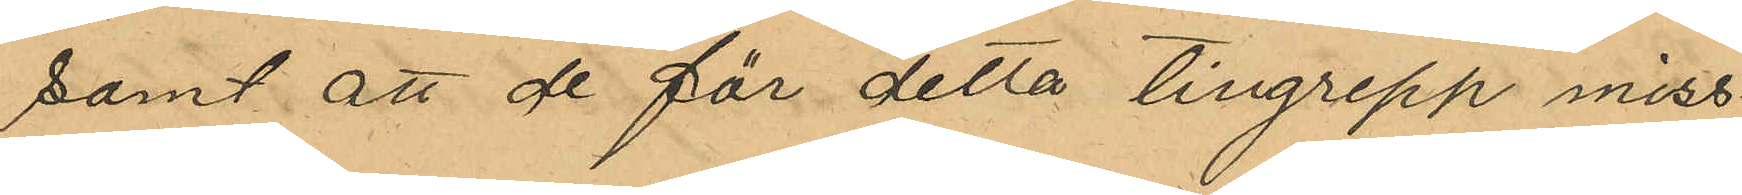samt att de för detta tillgrepp miss¬
